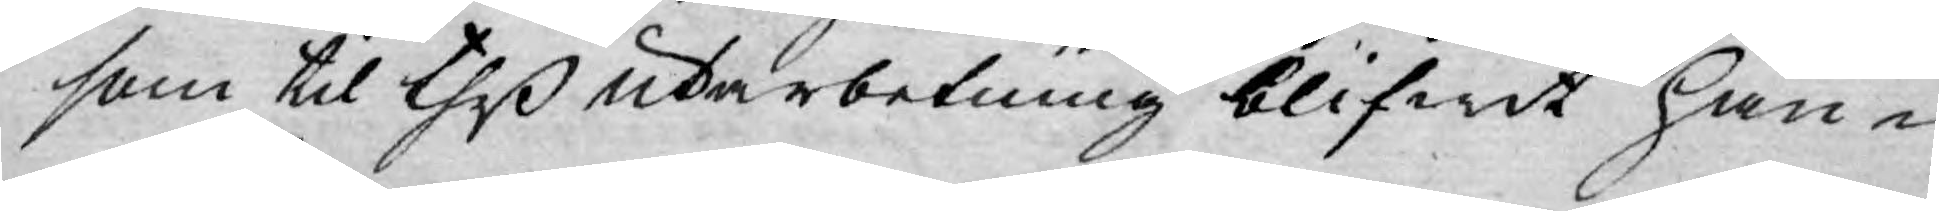som til theß utarbetning blifwit hän¬
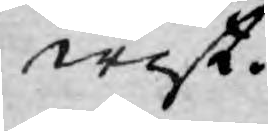wist.
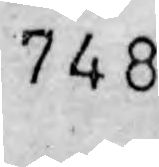748
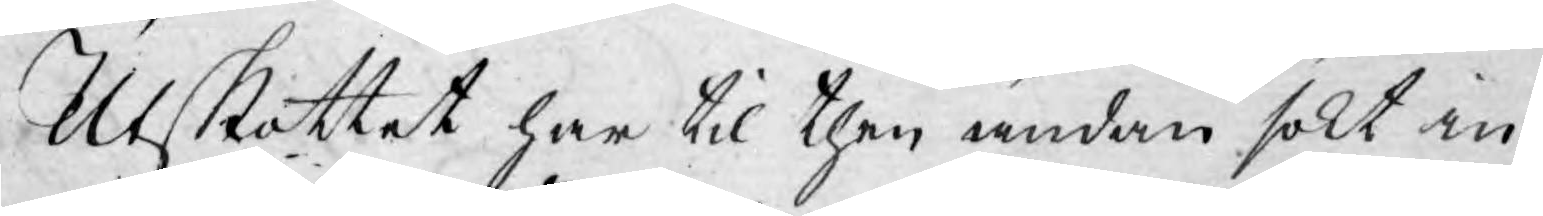Utskottet har til then ändan sökt in¬
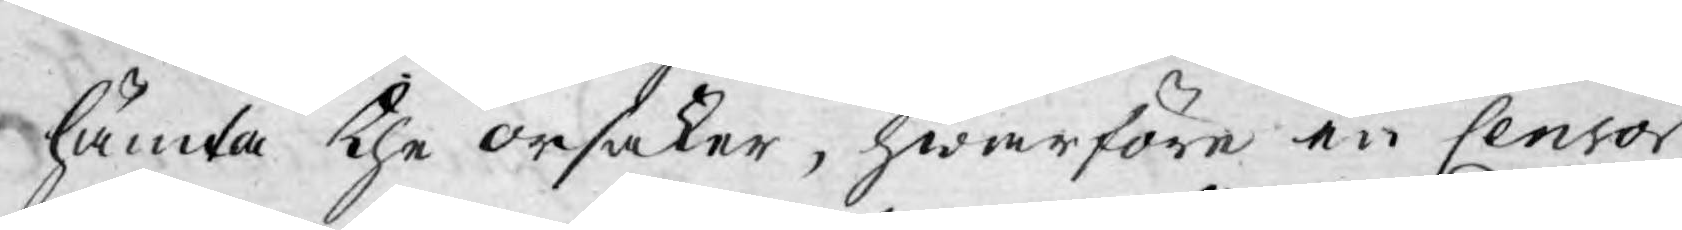hämta the orsaker, hwarföre en Censor
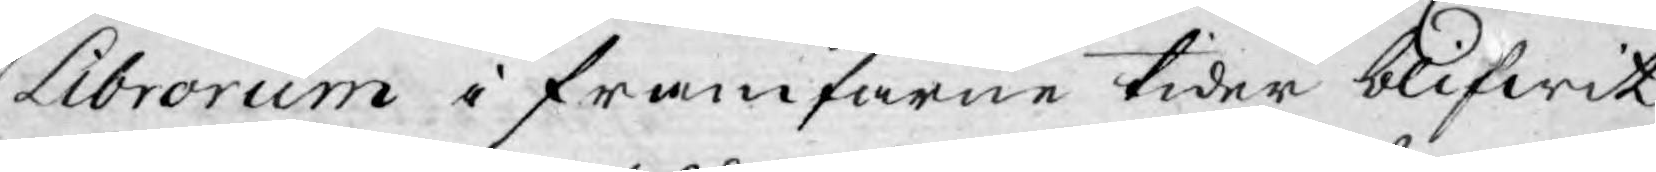Librorum i framfarne tider blifwit
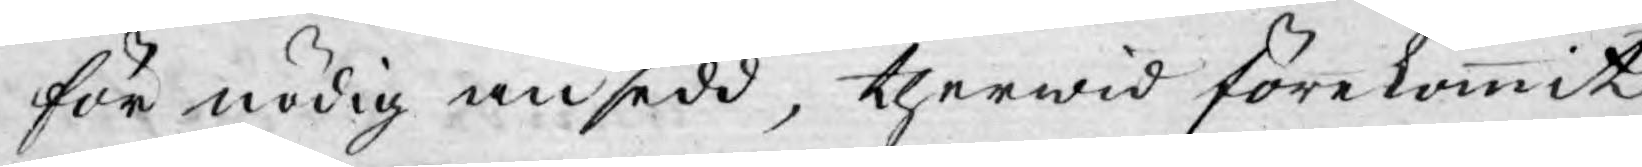för nödig ansedd, therwid förekommit
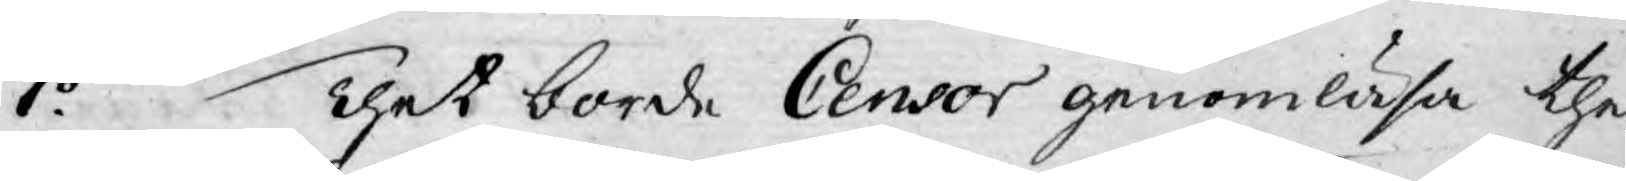1o Thet borde Censor genomläsa the
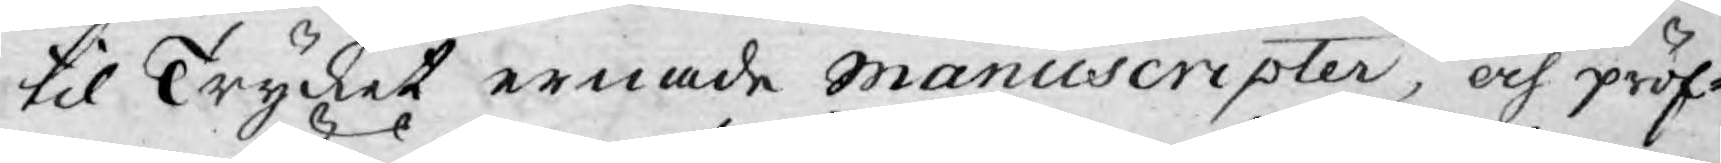til Trycket ernade manuscripter, och pröf¬
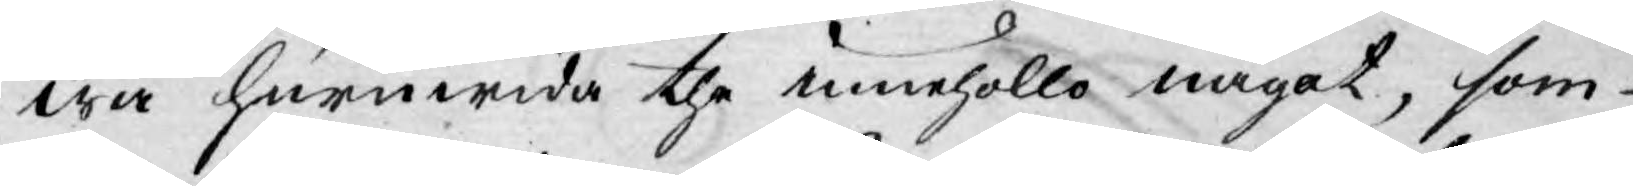wa huruwida the innehöllo något, som
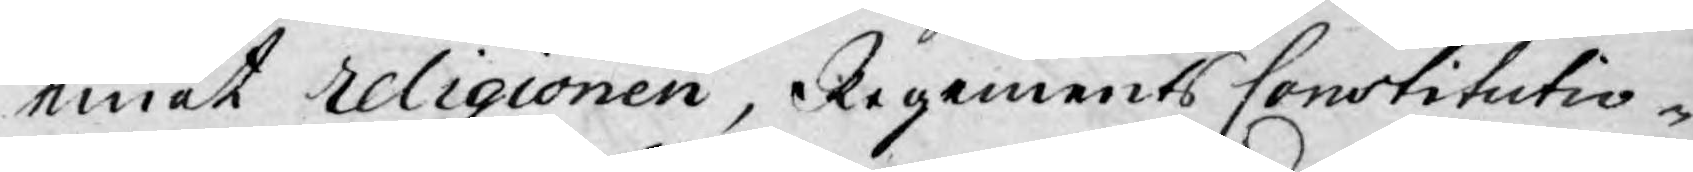emot religionen, Regements Constitutio¬
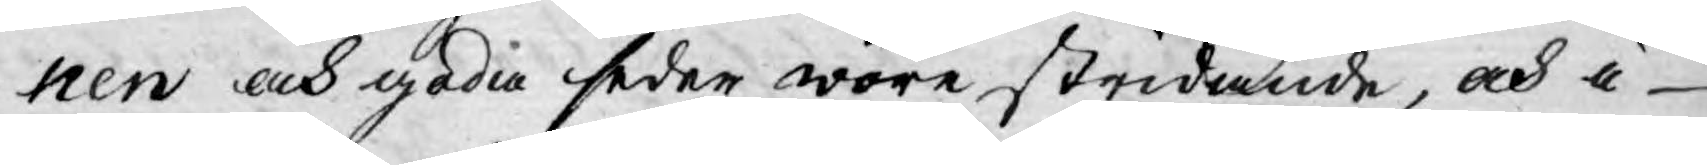nen och goda seder wore stridande, och i
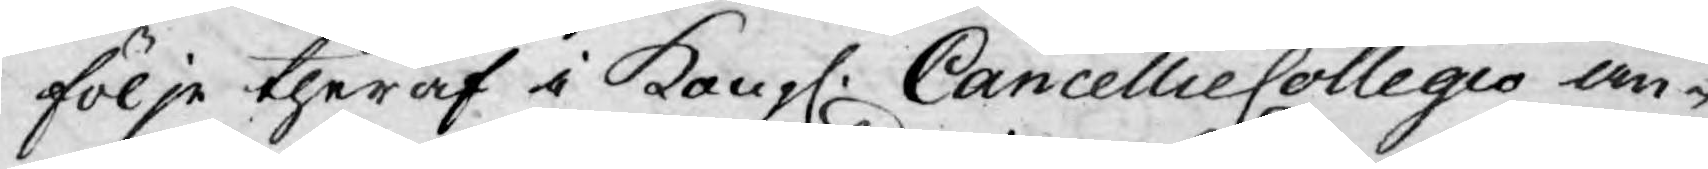följe theraf i Kongl: CancellieCollegio an¬
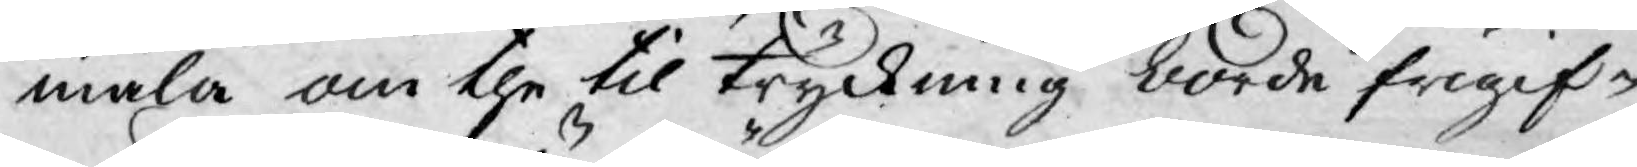mäla om the til tryckning borde frigif¬
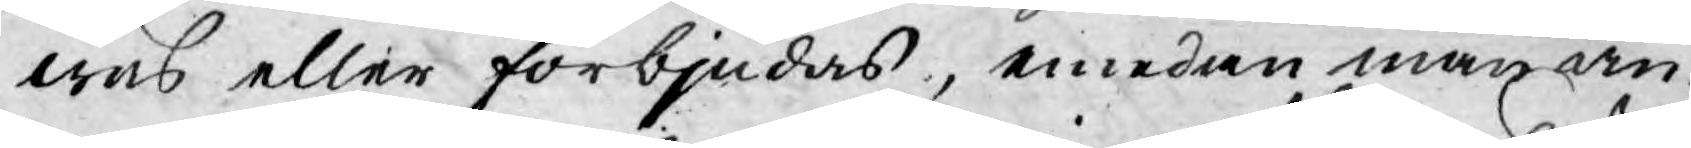was eller förbjudas, emedan man an¬
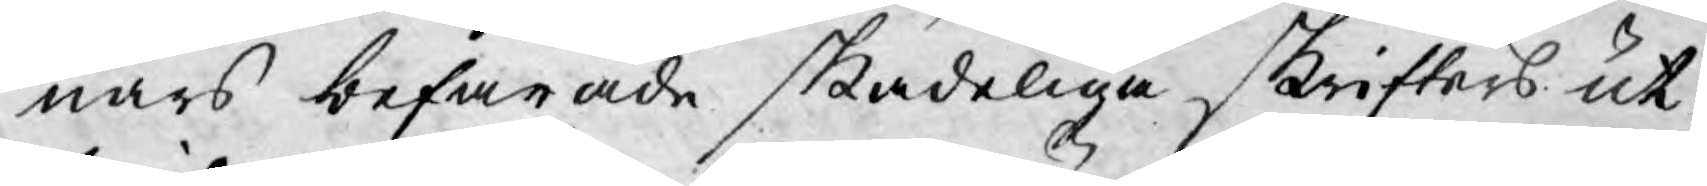nars befarade skadeliga skrifters ut¬
